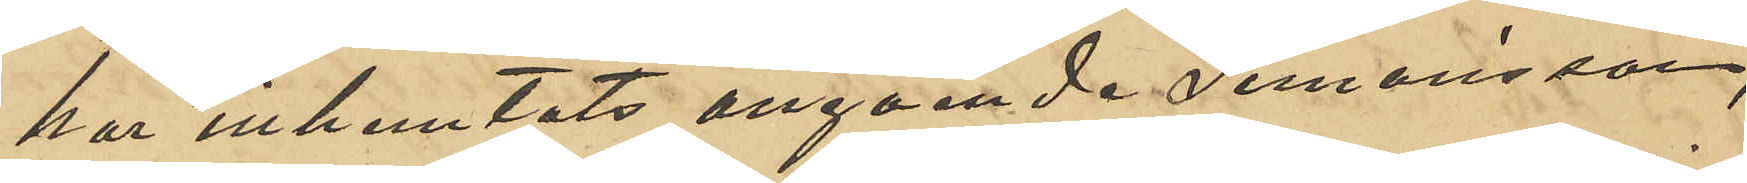har inhemtats angaende Simonsson,
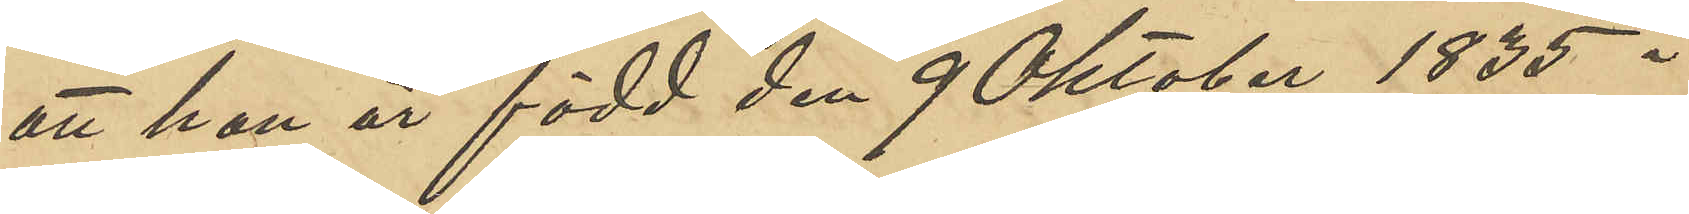att han är född den 9 Oktober 1835 i
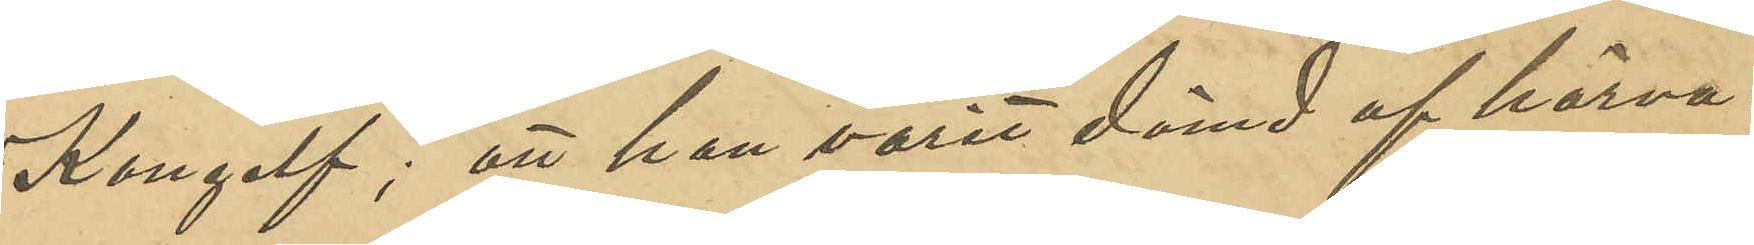Kongelf; att han varit dömd af härva¬
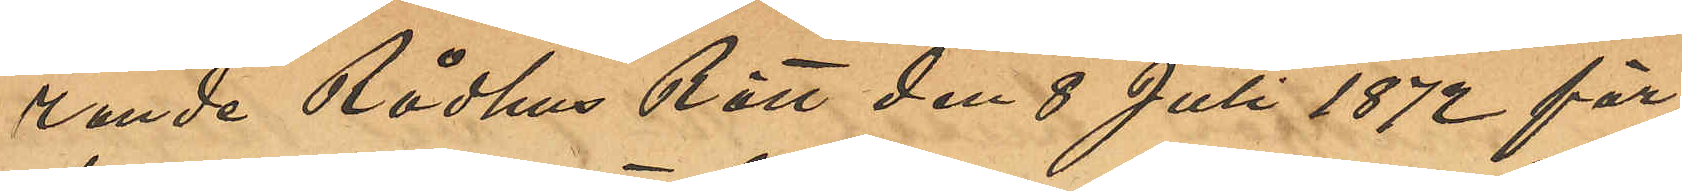rande Rådhus Rätt den 8 Juli 1872 för
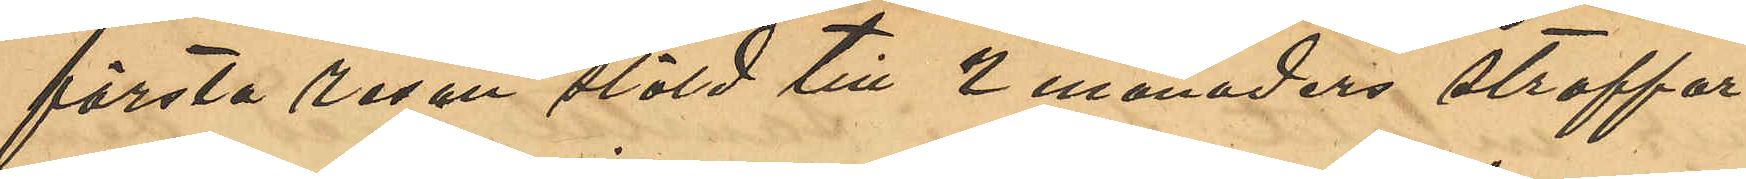första resan stöld till 2 månaders straffar¬
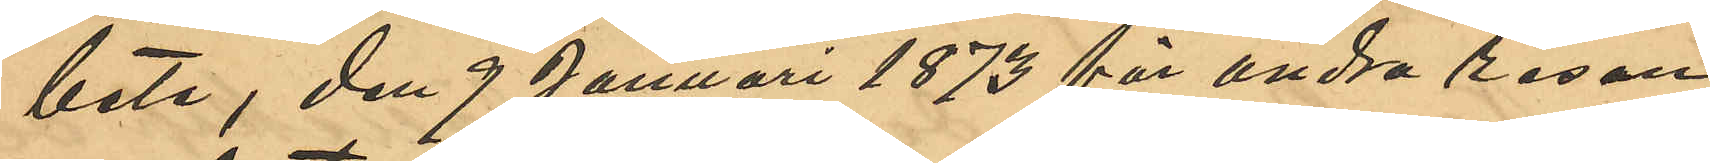bete, den 9 Januari 1873 för andra resan
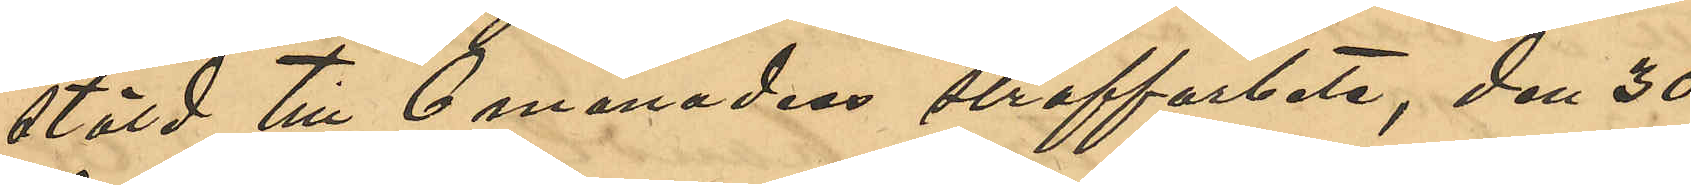stöld till 6 månaders straffarbete, den 30
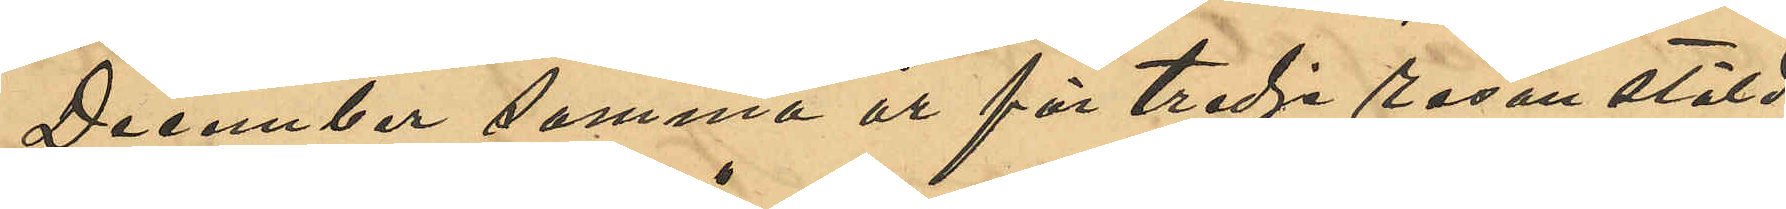December samma år för tredje resan stöld
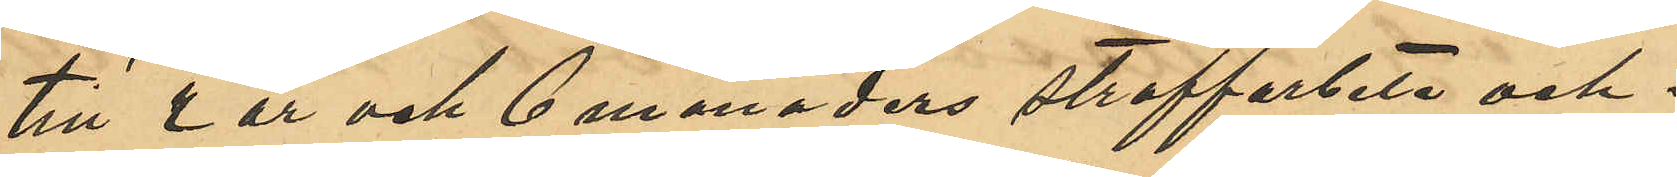till 2 år och 6 månaders straffarbete och i
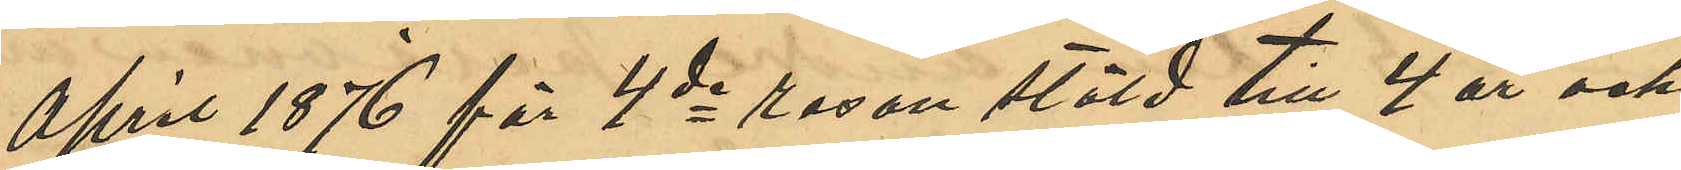April 1876 för 4de resan stöld till 4 år och
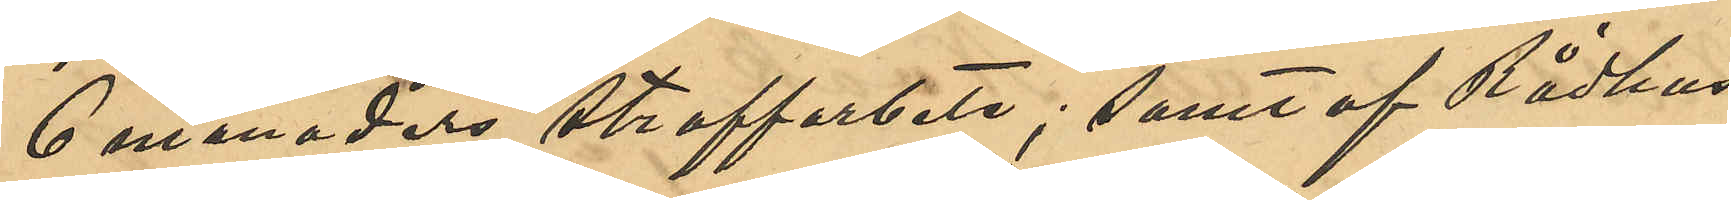6 månaders straffarbete; samt af Rådhus
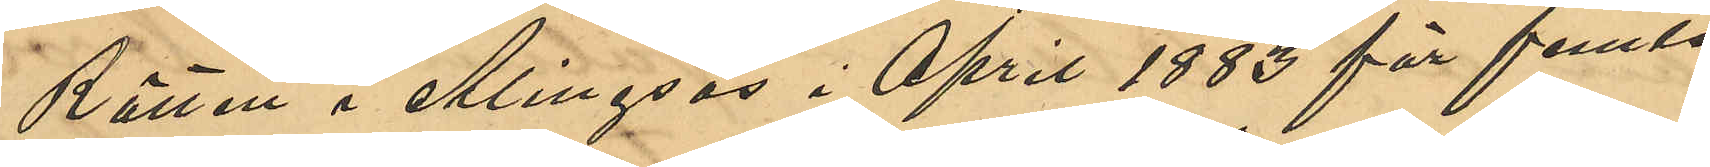Rätten i Alingsås i April 1883 för femte
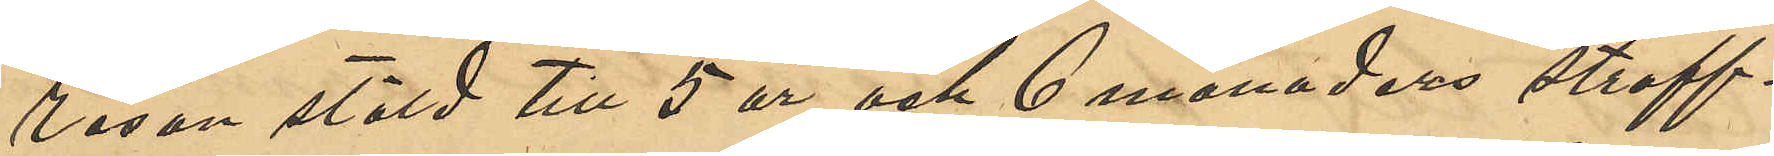resan stöld till 5 år och 6 månaders straff¬
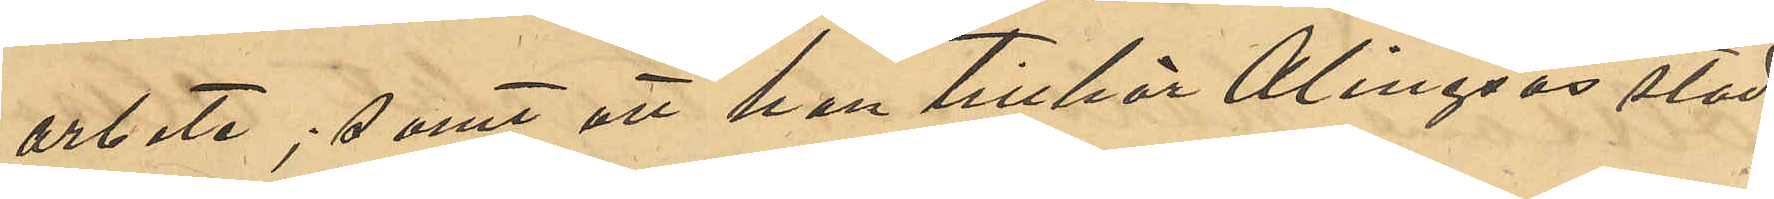arbete; samt att han tillhör Alingsås stad.
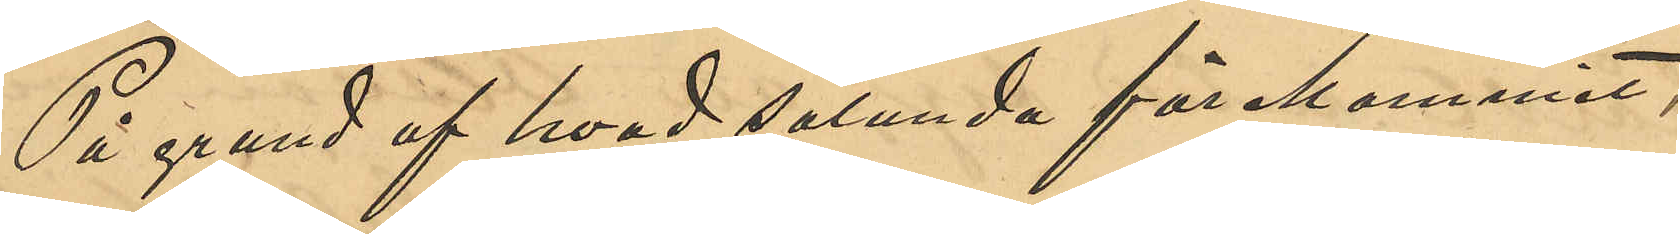På grund af hvad sålunda förekommit
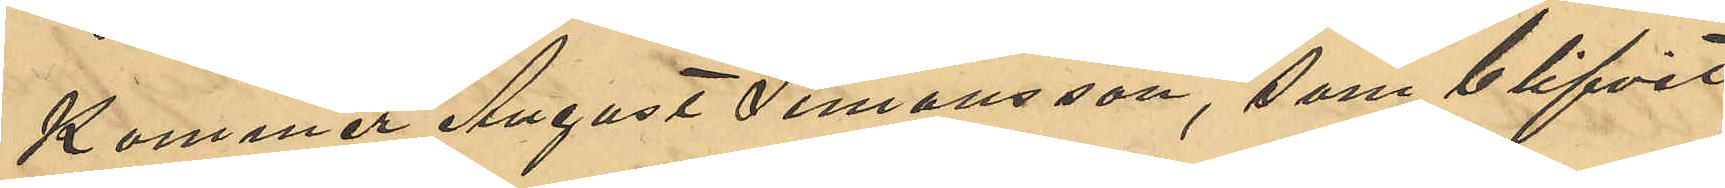Kommer August Simonsson, som blifvit
